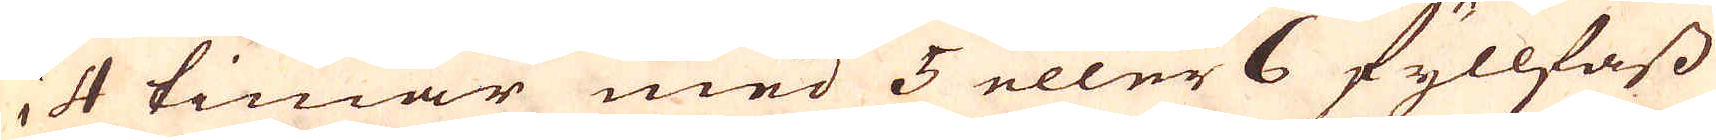i 4 timar med 5 eller 6 fyllfass
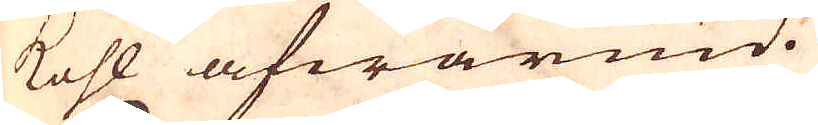kohl afwärmd.
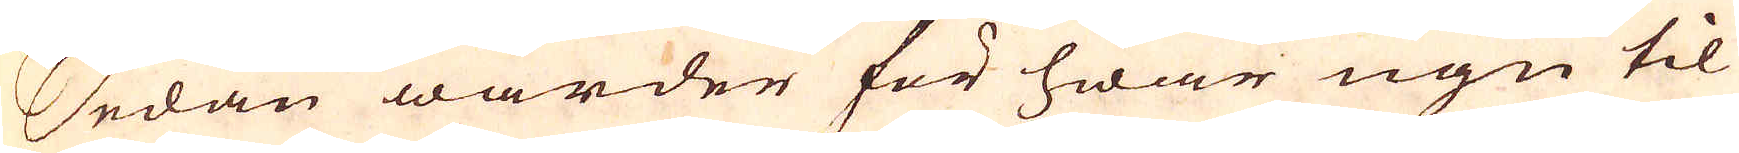Sedan warder för hwar ugn til
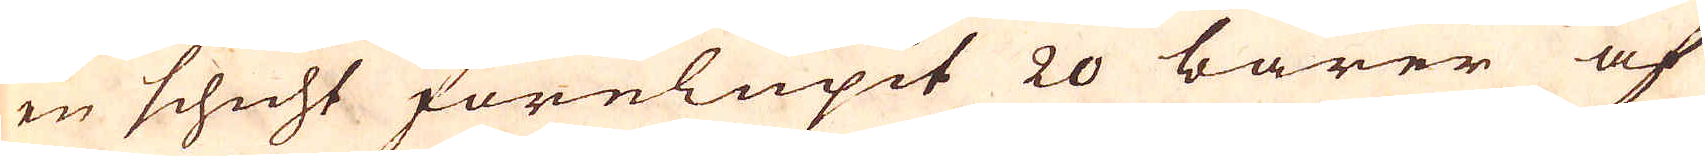en schicht förelupit 20 barer af
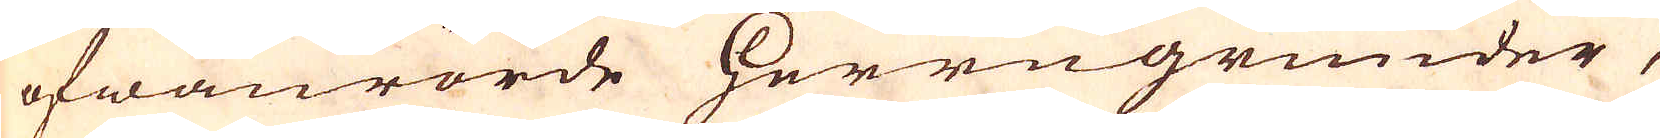ofwanrörde Herregrunder,
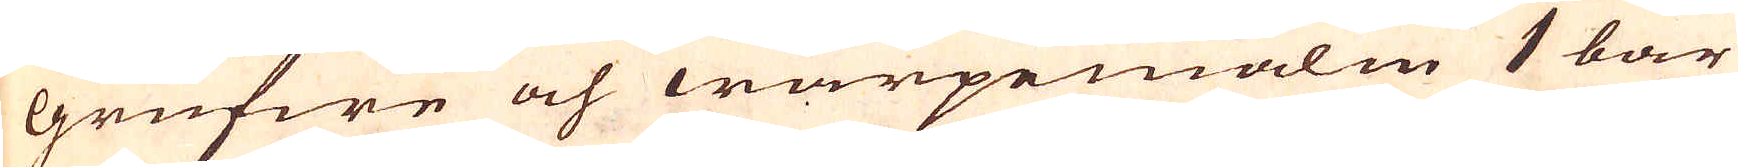Grufwe och warpemalm 1 bar
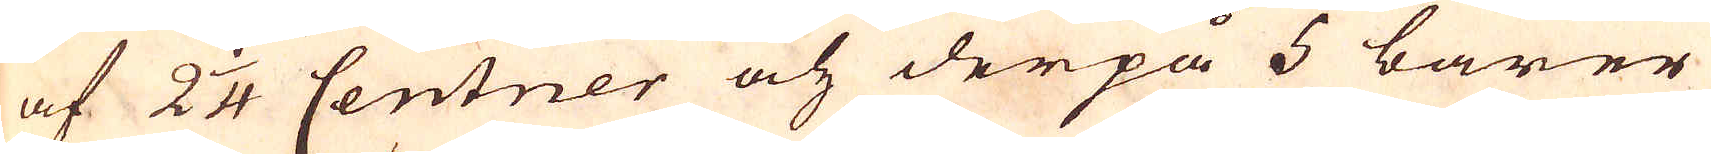af 2 1/4 Centner och derpå 5 barer
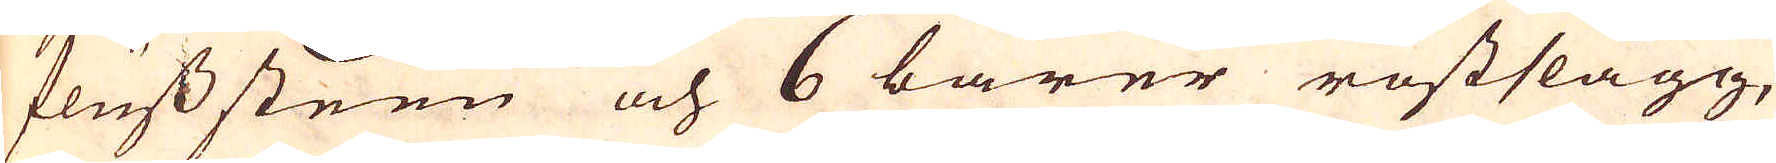fluss steen och 6 barer rostslagg,
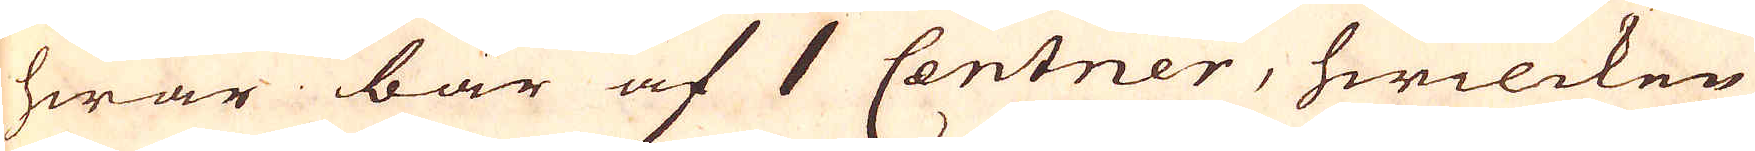hwar bar af 1 Centner, hwilcken
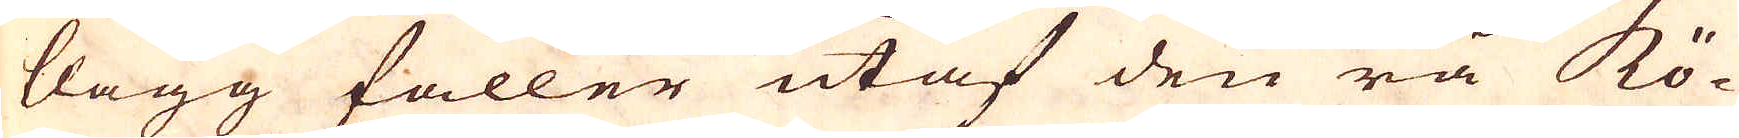kagg faller utaf den rå Kö-
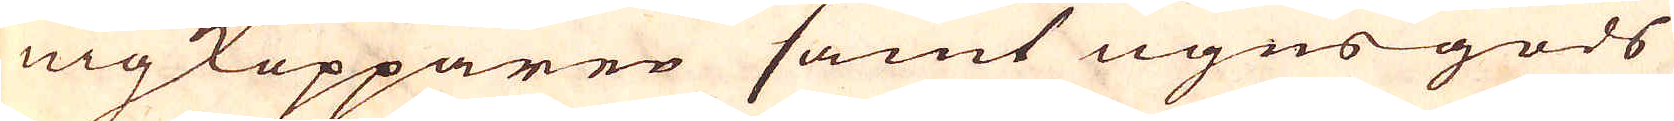nigkopparen samt ugns gods
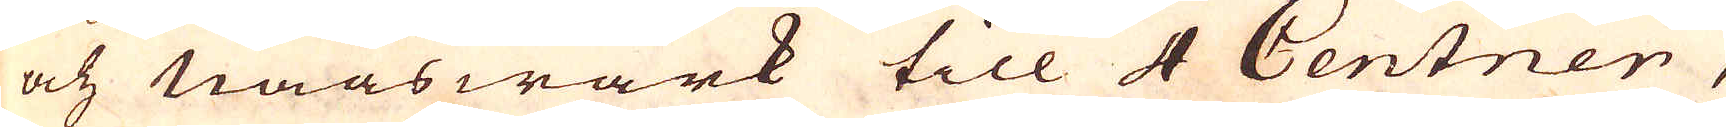och naaswärk till 4 Centner,
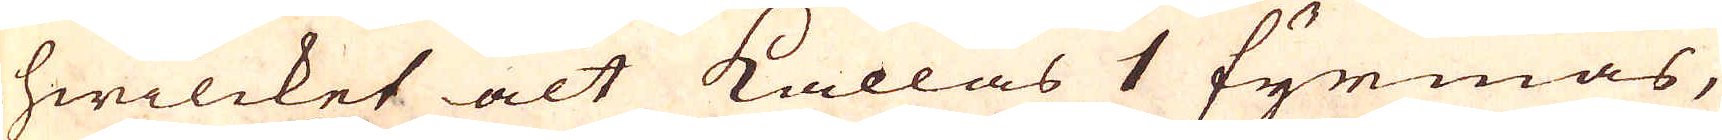hwilcket alt kallas 1 fyrmas,
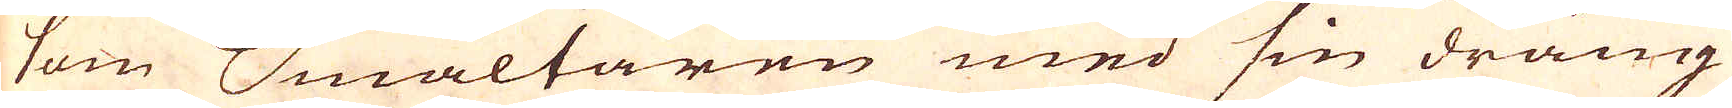som Smältaren med sin dräng
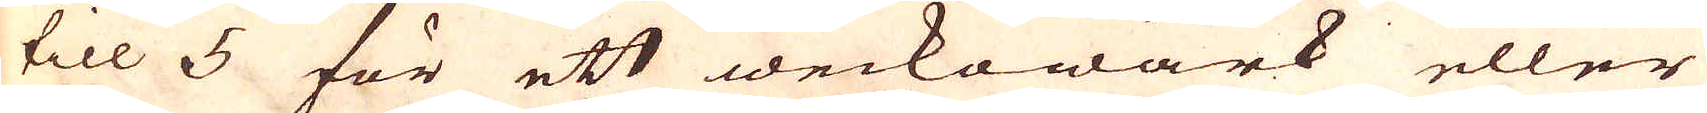till 5 för ett weckowärk eller
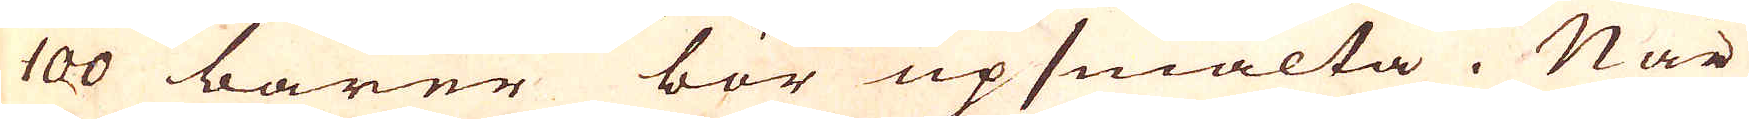100 barer bör upsmälta. När
